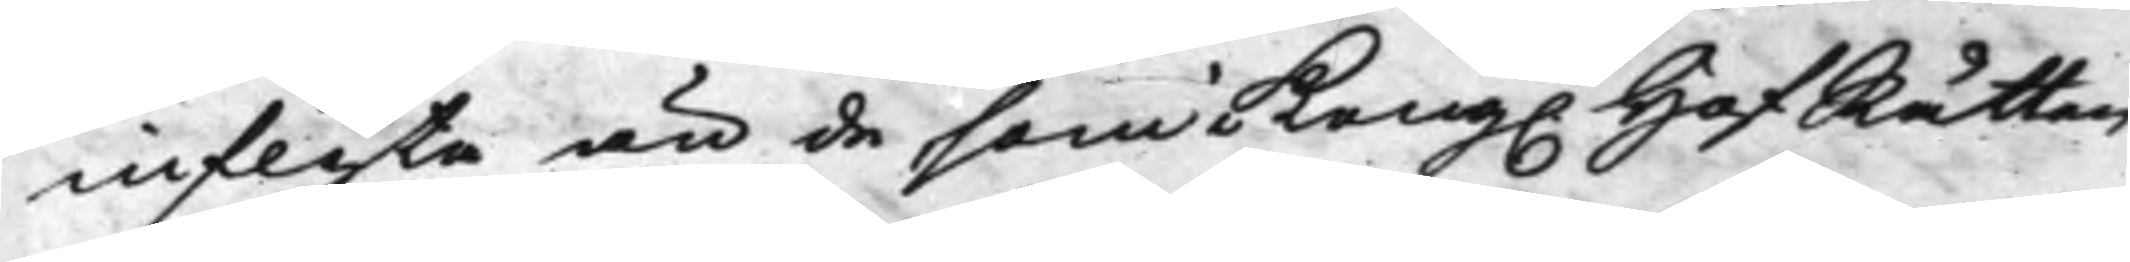inflyta än de som Kong. HofRätten
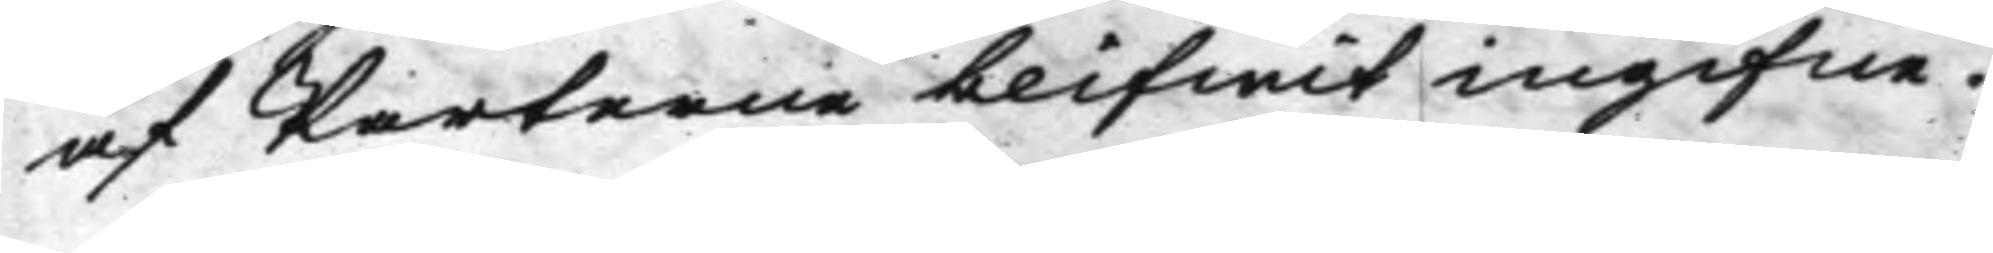af Parterne blifwit ingifne.
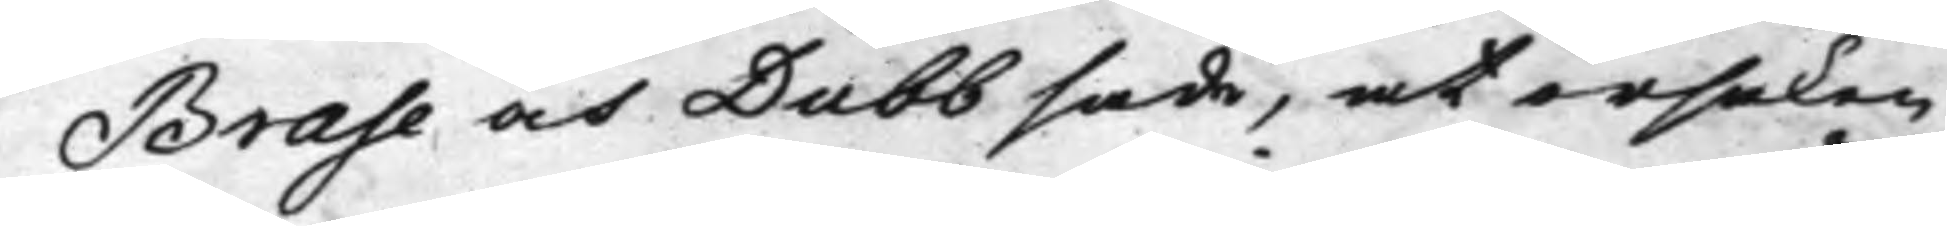Brase och Dubb sade, at orsaken
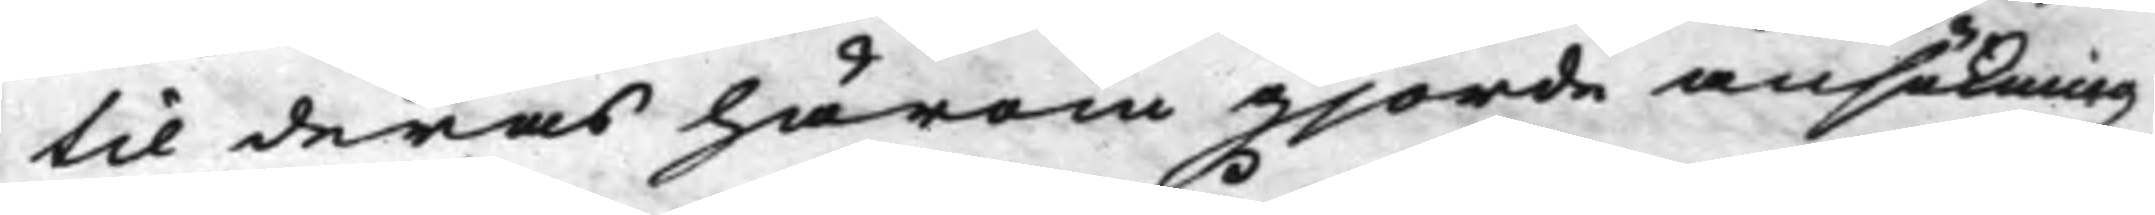til deras härom gjorde ansökning
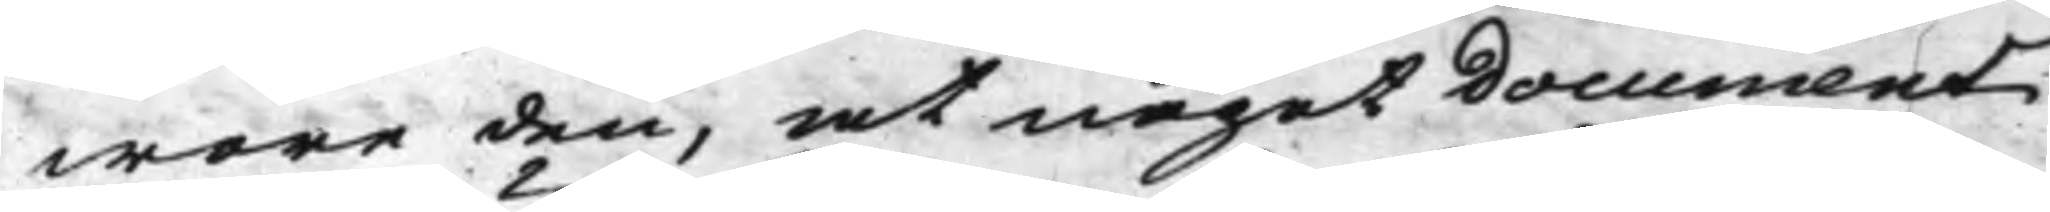wore den, at något Document
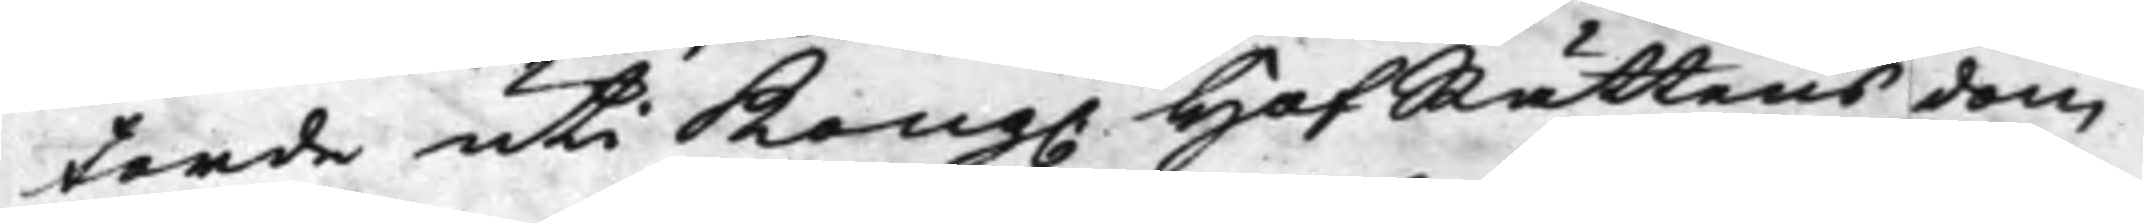torde uti Kong. HofRättens dom
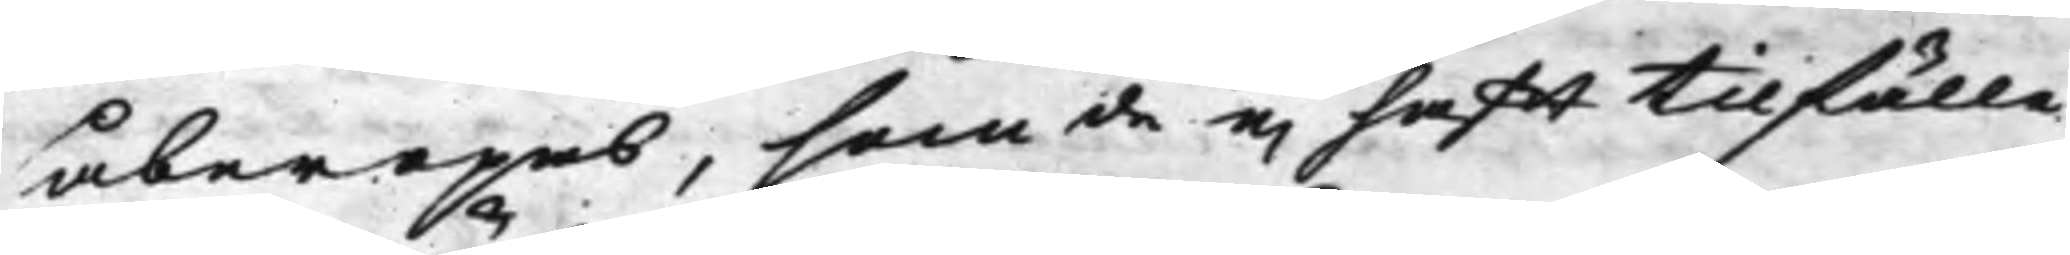åberopas, som de ej hafft tilfälle
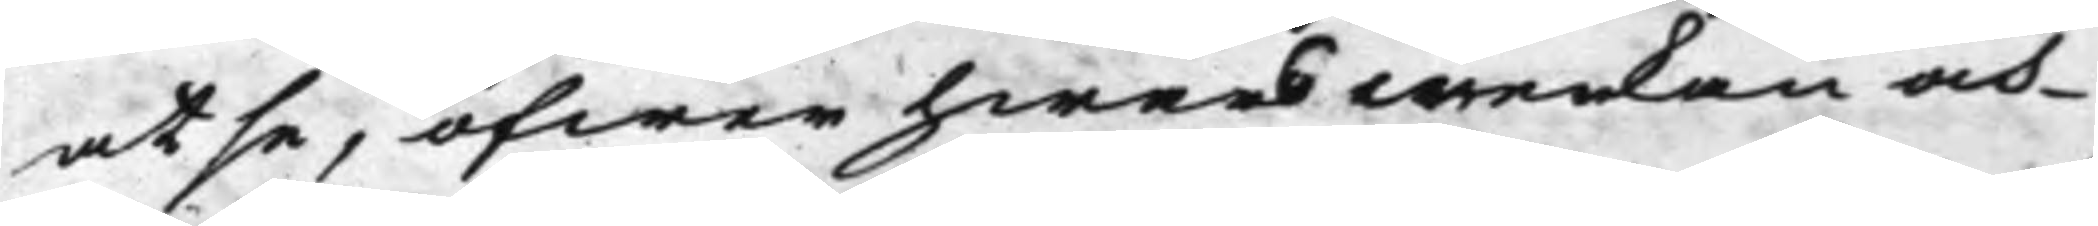at se, öfwer hwars werkan och
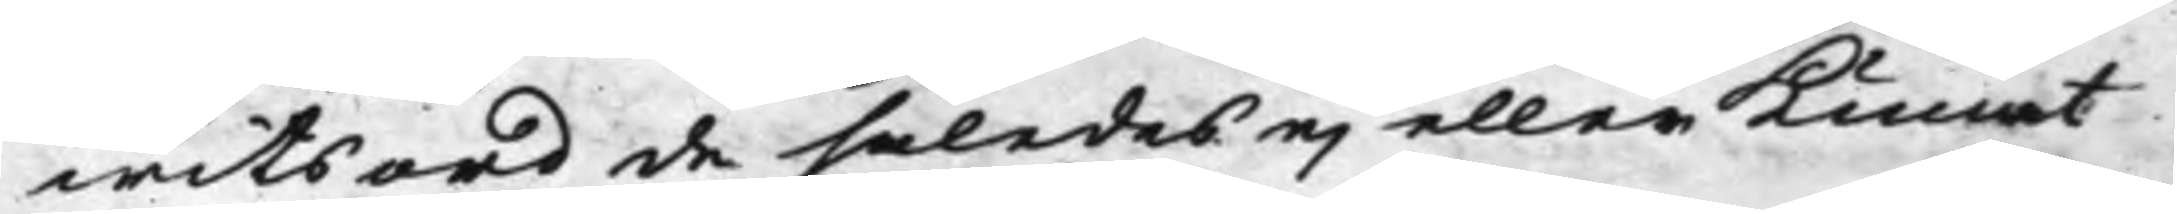witsord de således ej eller Kunat
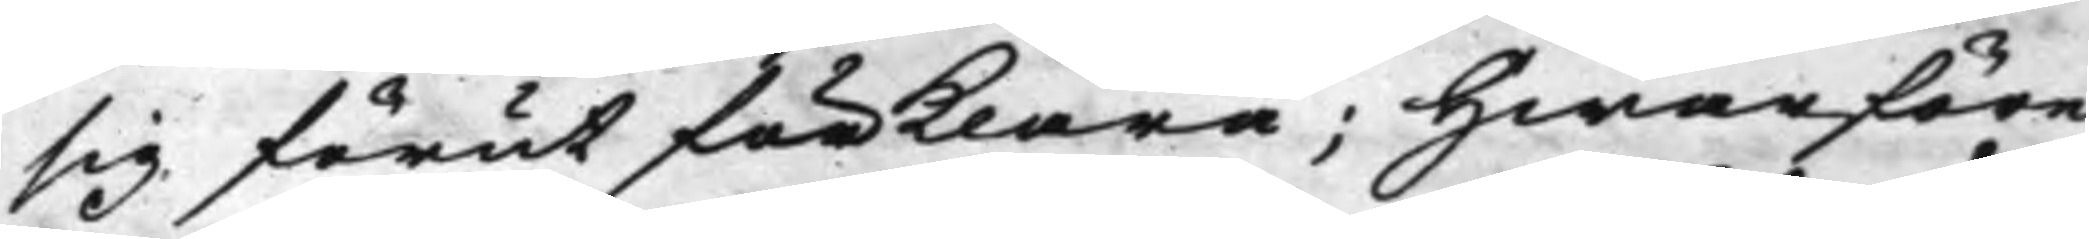sig förut förklara; Hwarföre
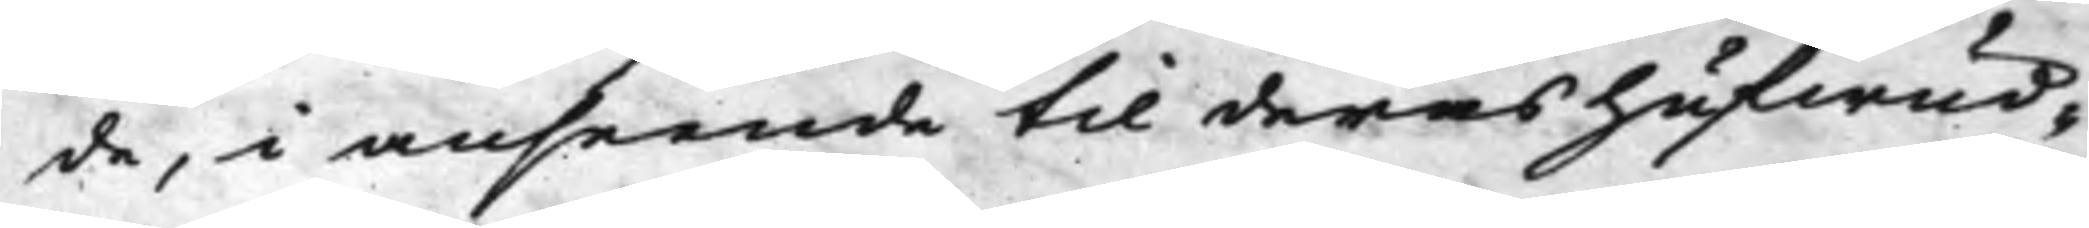de, i anseende til deras hufwud¬
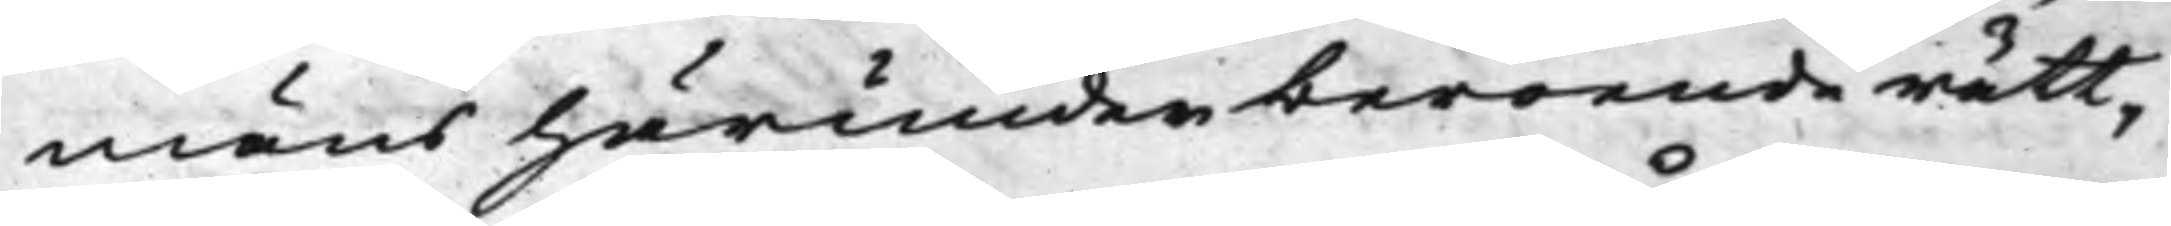mäns härunder beroende rätt,
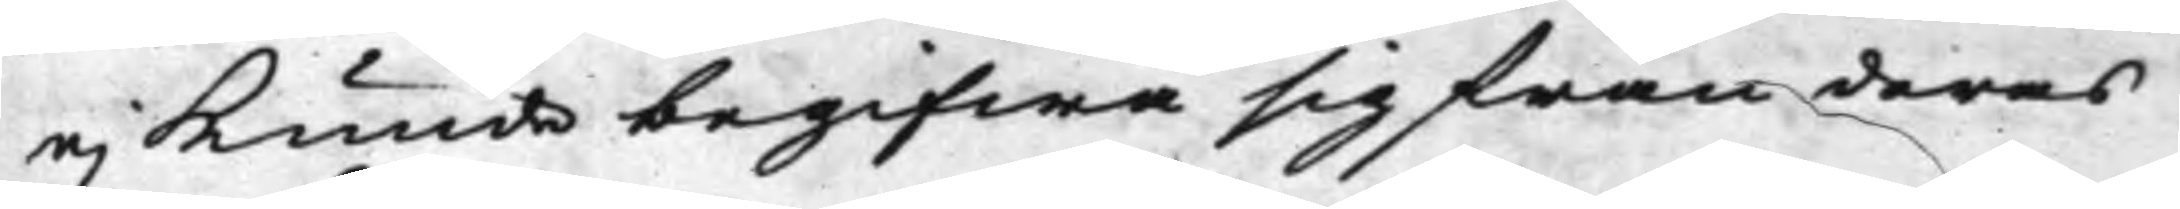ej kunde begifwa sig från deras
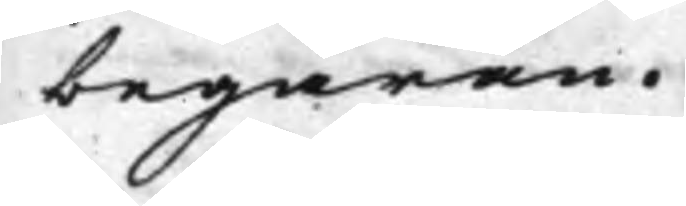begäran.
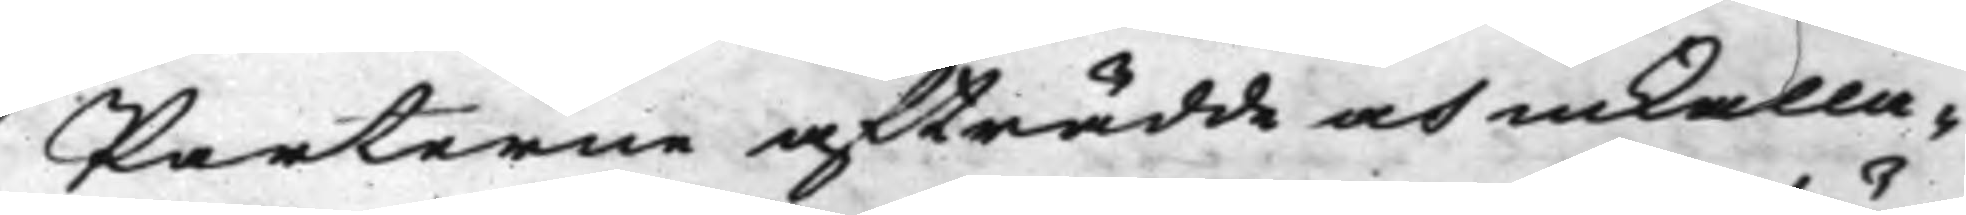Parterne afträdde och inkalla¬
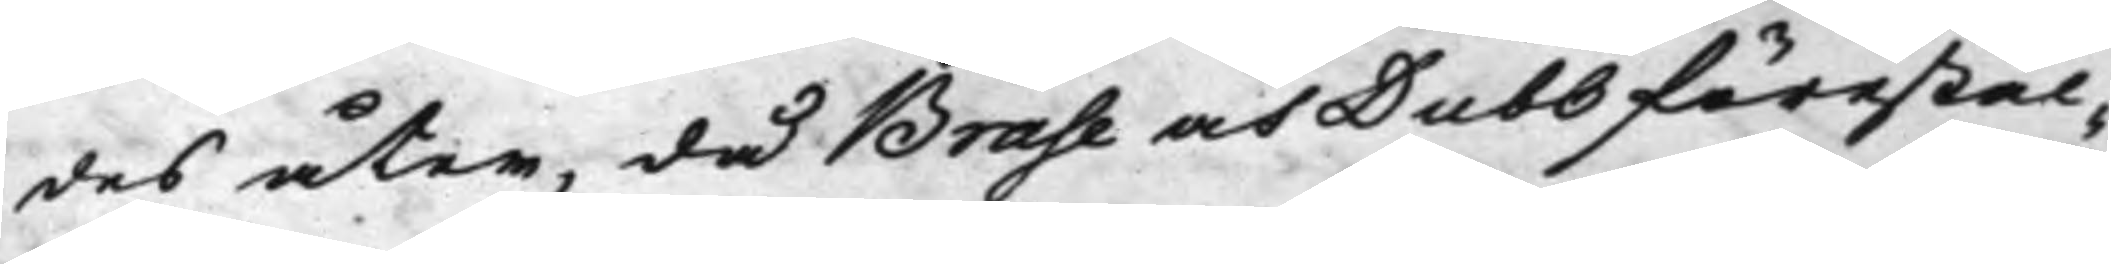des åter, då Brase och Dubb förestäl¬
